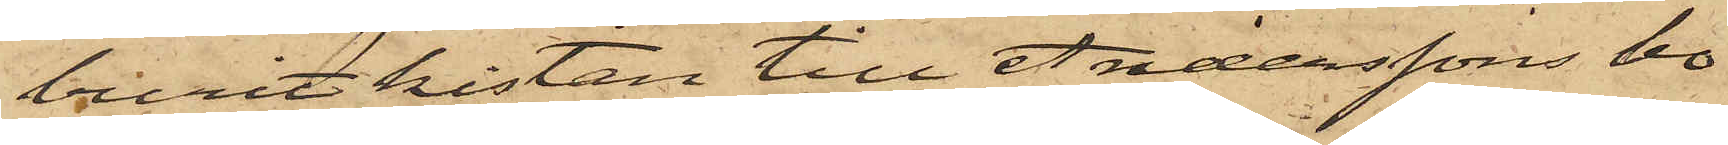burit kistan till Anderssons bo¬
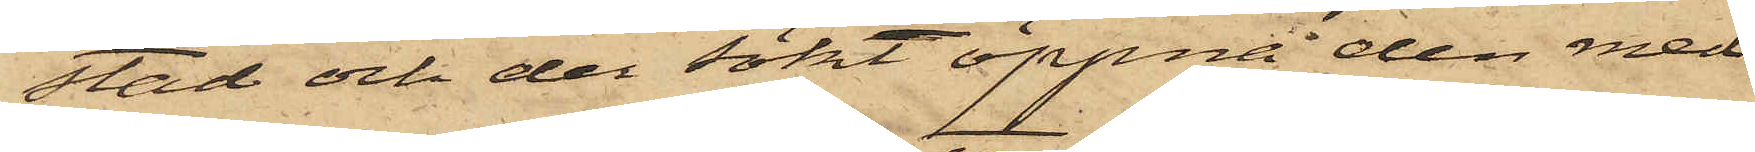stad och der sökt öppna den med
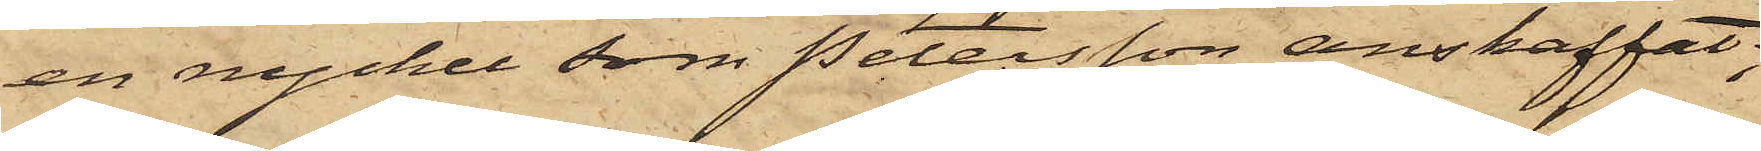en nyckel, som Petersson anskaffat;
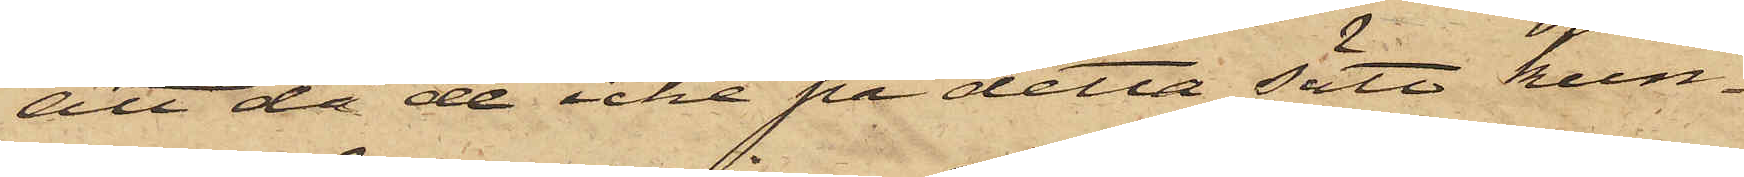att då de icke på detta sätt kun¬
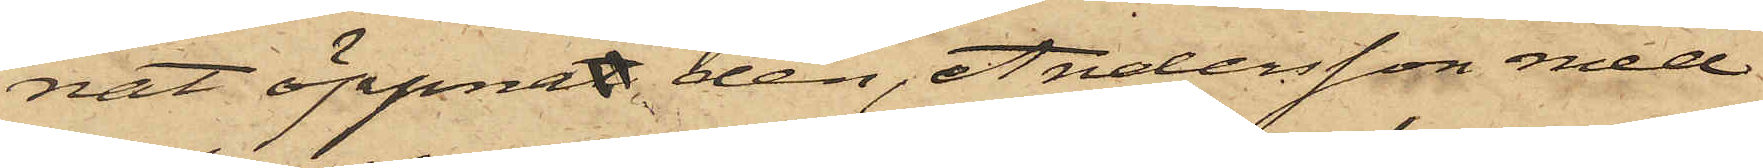nat öppnat den, Andersson med
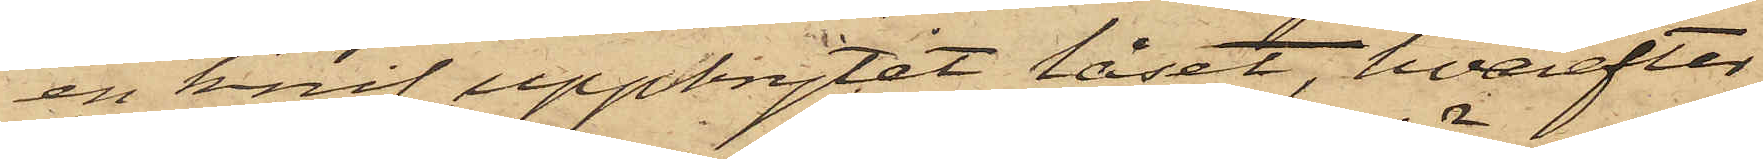en knif uppbrytit låset, hvarefter
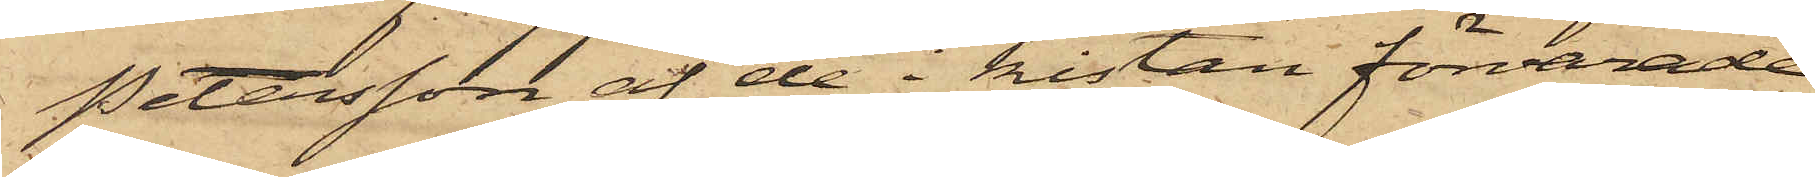Petersson af de i kistan förvarade
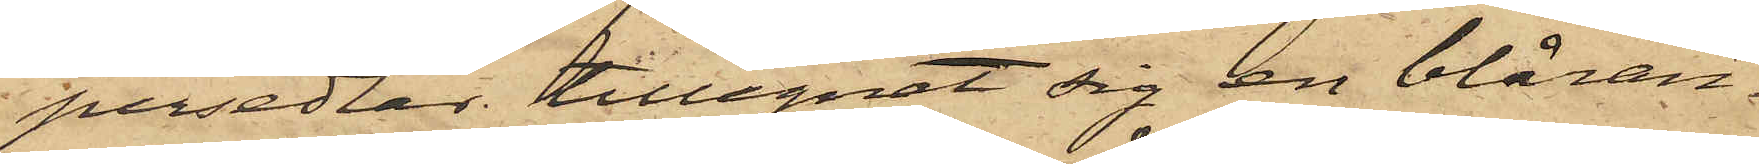persedlar tillegnat sig en blåran¬
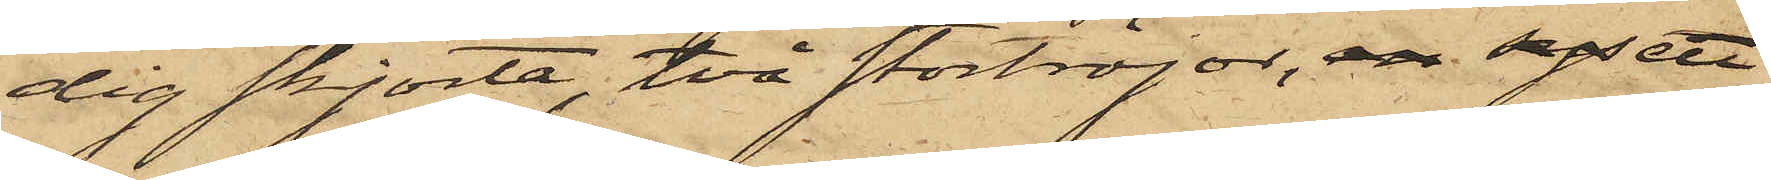dig skjorta, två stortröjor, en sys ett
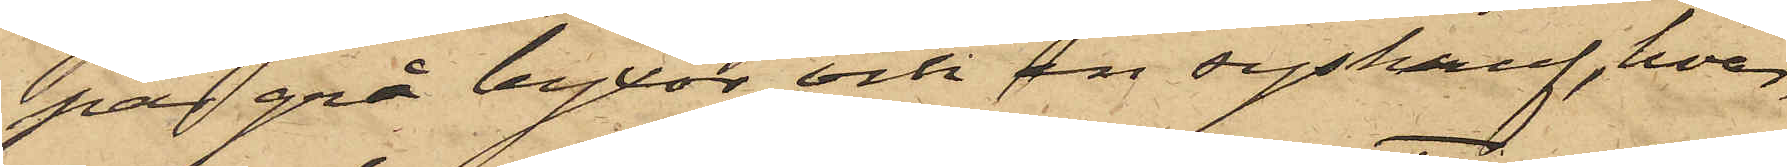par grå byxor och en syskruf, hvar¬
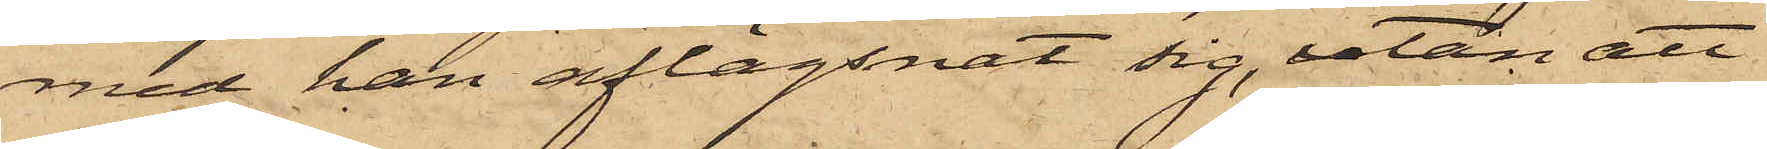med han aflägsnat sig, utan att
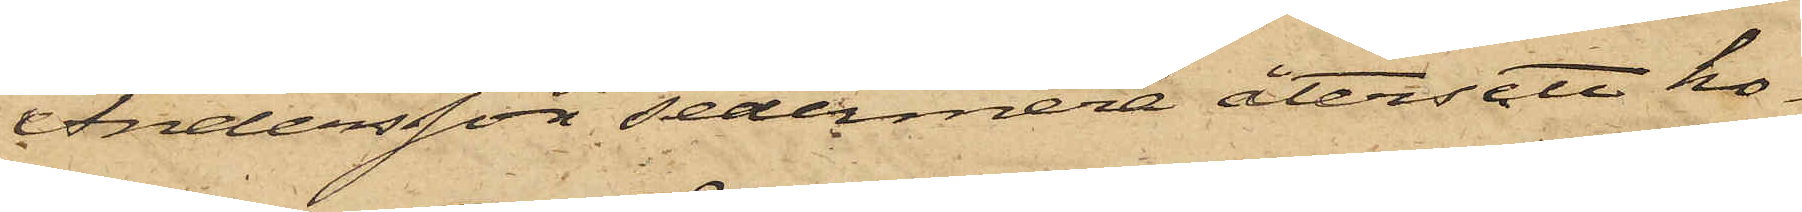Andersson sedermera återsett ho¬
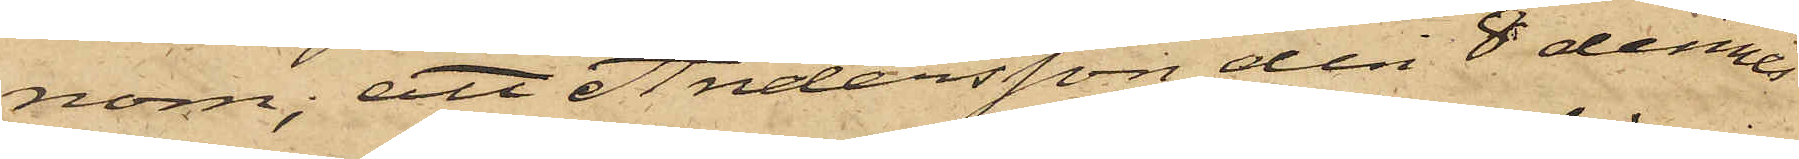nom; att Andersson den 8 dennes
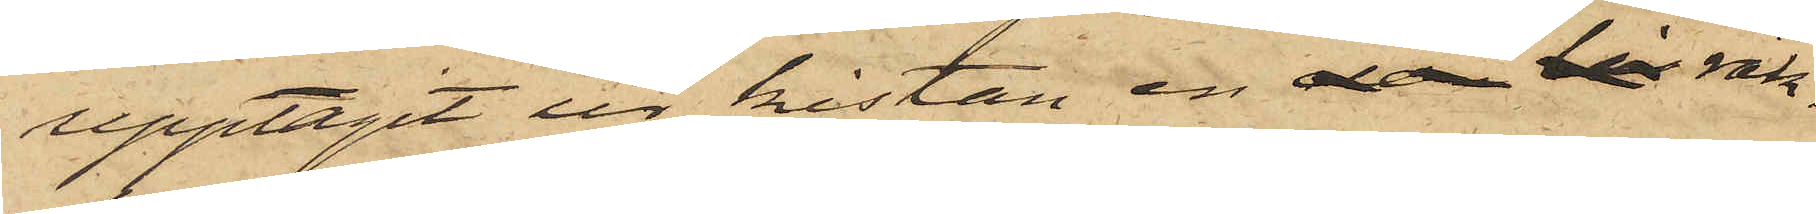upptagit ur kistan en rak¬
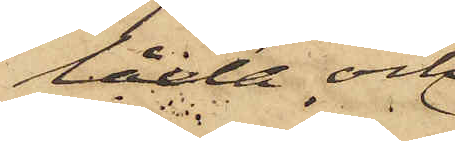låda och
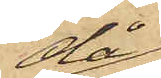då
